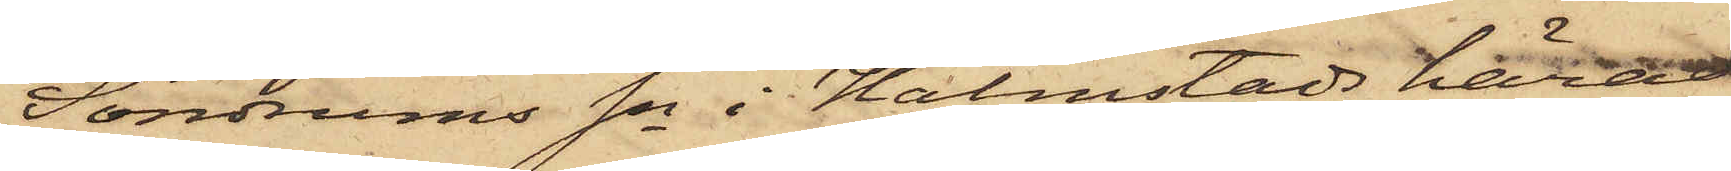Söndrums Sn i Halmstads härad
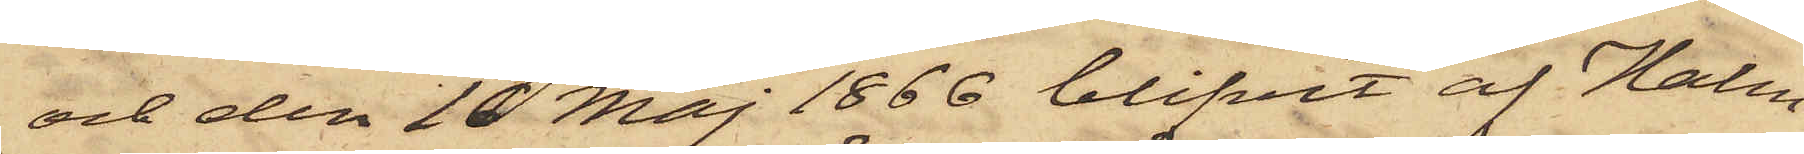och den 10 Maj 1866 blifvit af Halm¬
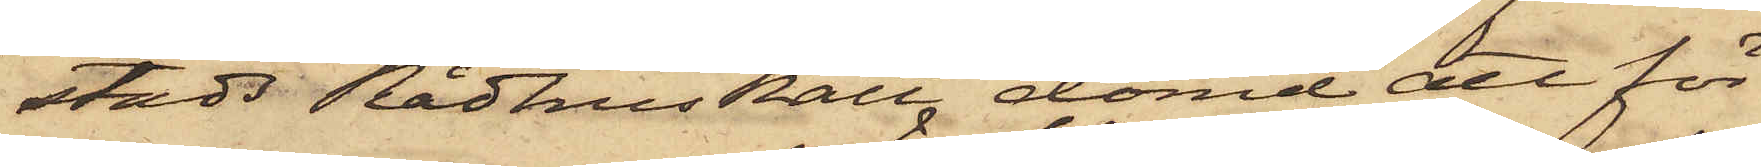stads Rådhus Rätts dömd att för
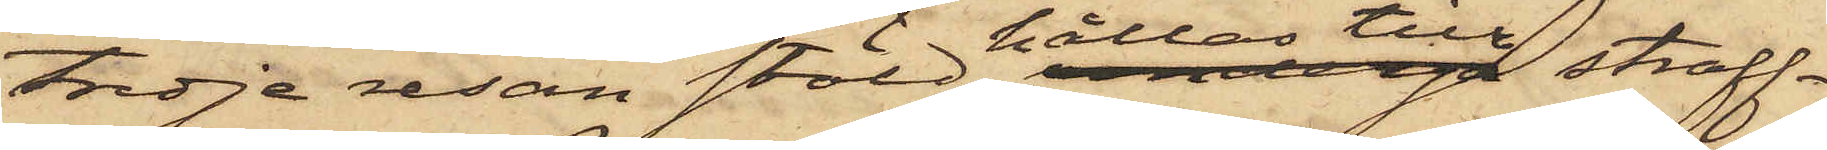tredje resan stöld hållas till straff¬
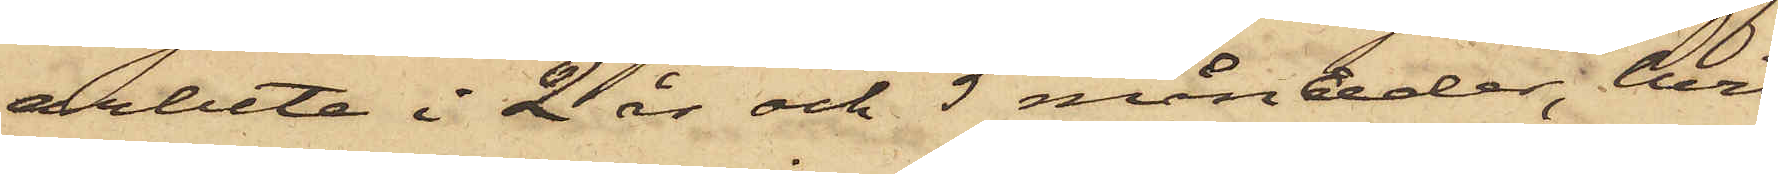arbete i 2 år och 5 månader, hvil¬
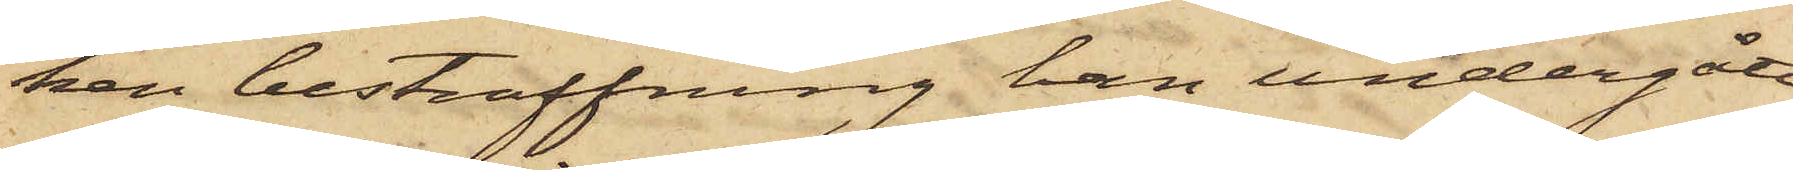ken bestraffning han undergått,
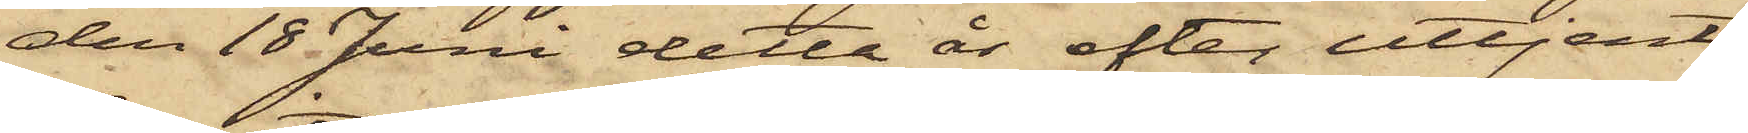den 18 Juni detta år efter uttjent
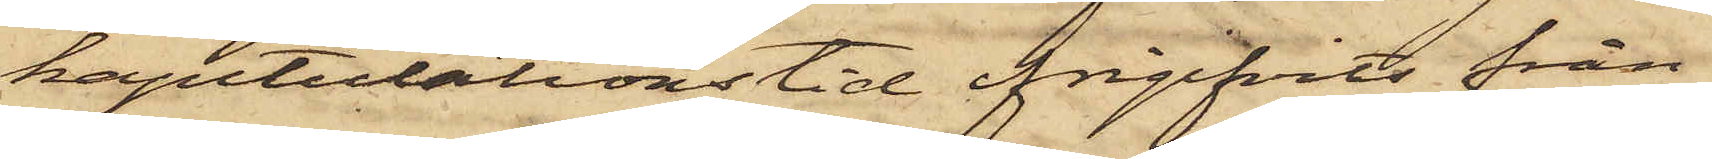kapitutationstid frigifvits från
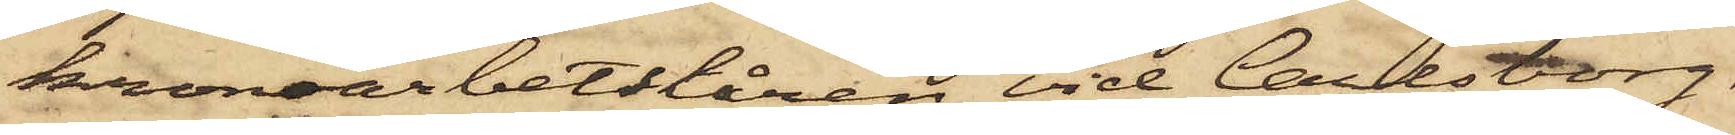kronoarbetskåren vid Carlsborg,
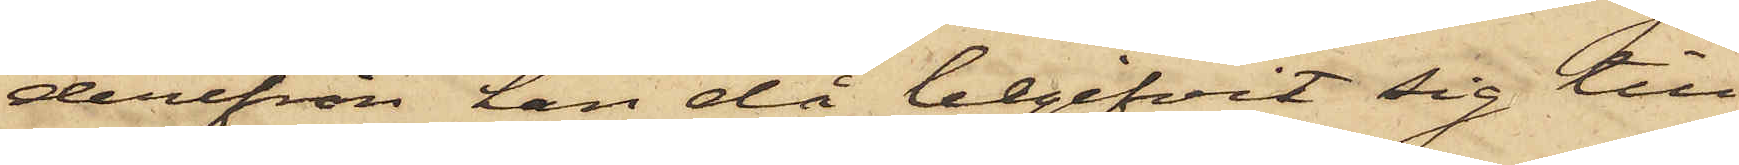derifrån han då begifvit sig till
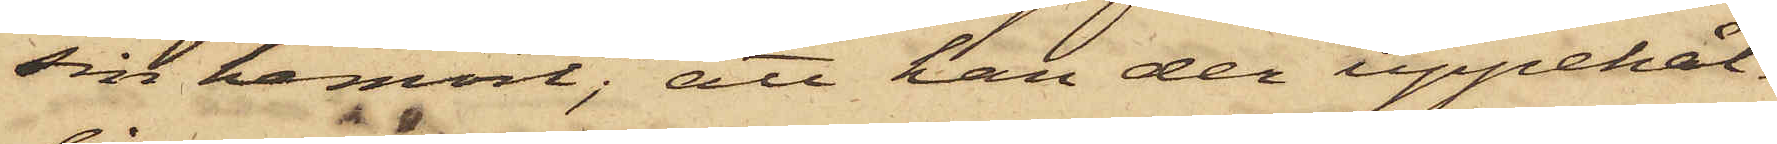sin hemort; att han der uppehål¬
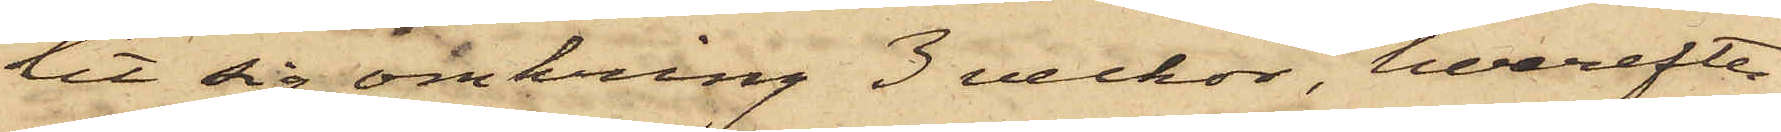lit sig omkring 3 veckor, hvarefter
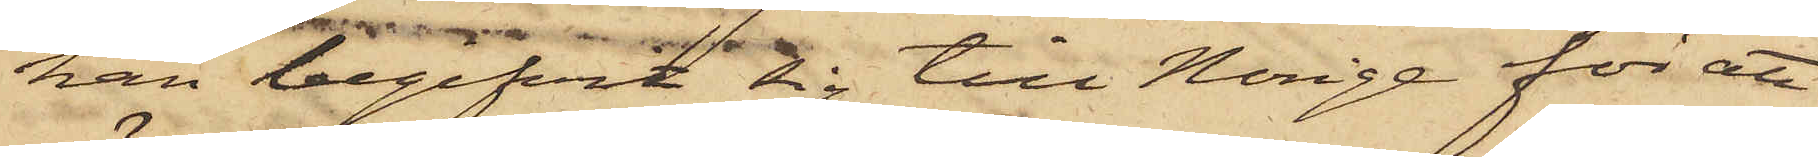han begifvit sig till Norige för att
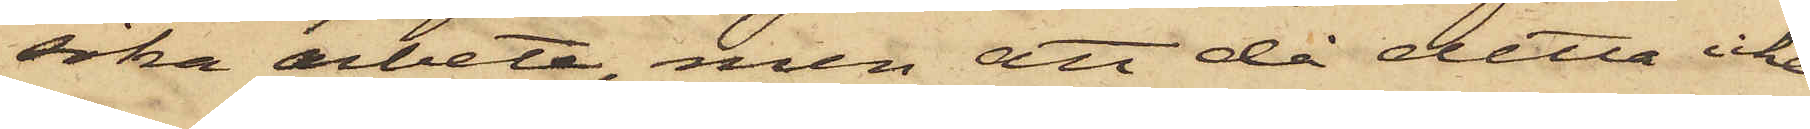söka arbete, men att då detta icke
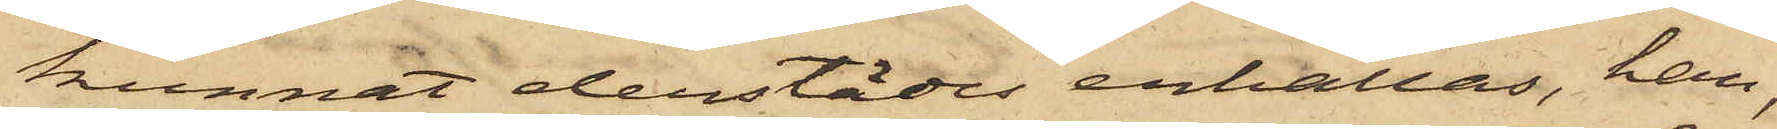kunnat derstädes erhållas, han,
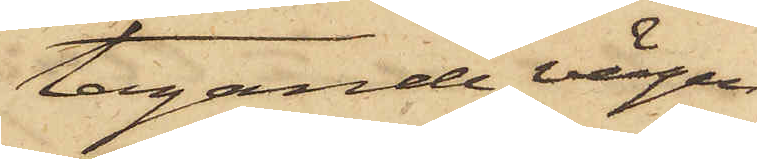tagande vägen
